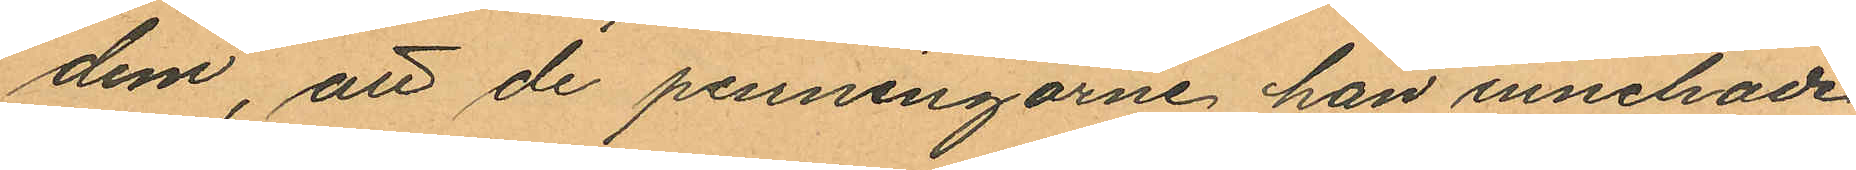dem, att de penningarne han innehade
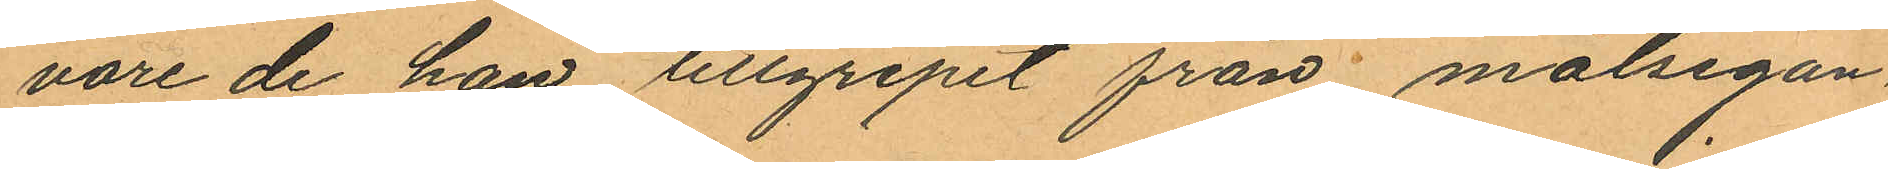vore de han tillgripit från målsegan¬
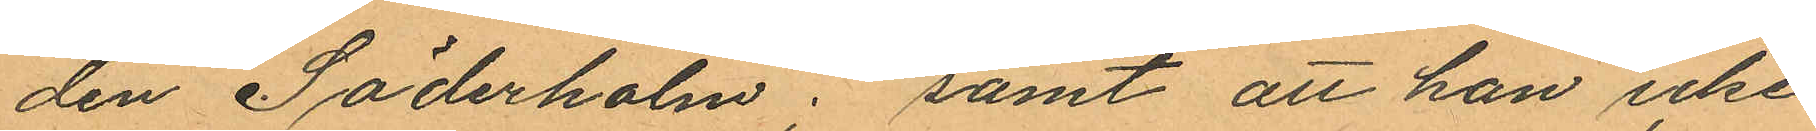den Söderholm; samt att han icke
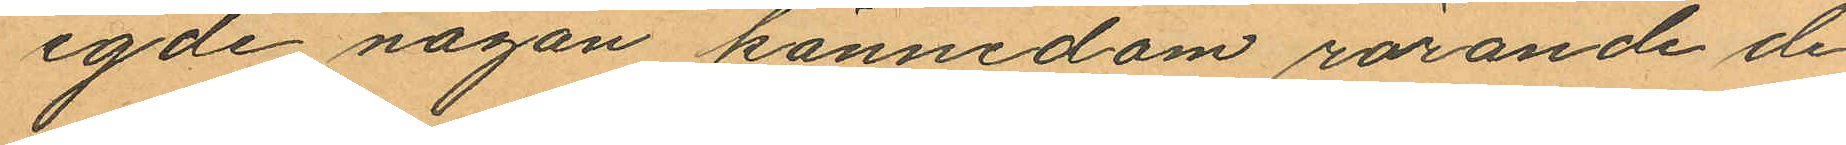egde någon kännedom rörande de
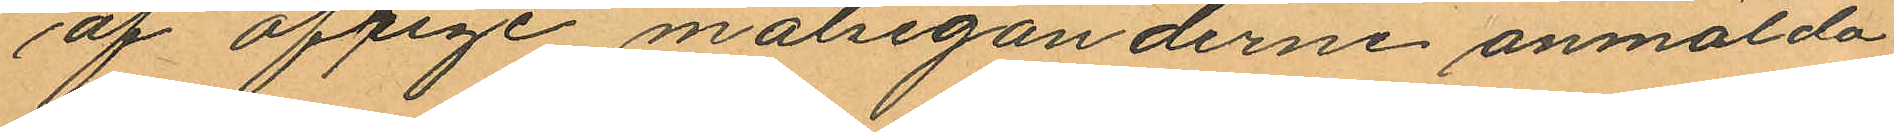af öfrige målseganderne anmälda
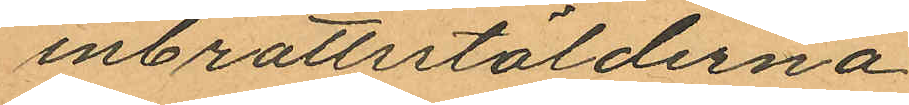inbrottsstölderna.
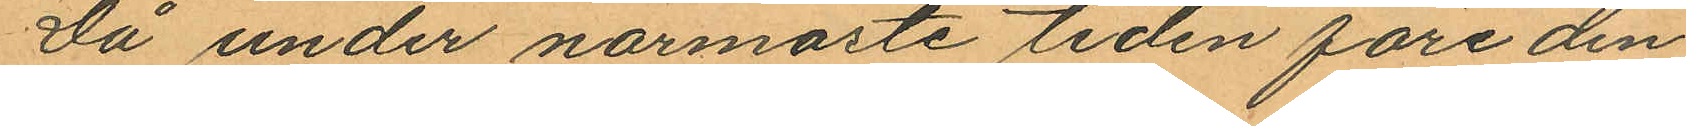Då under närmaste tiden före den
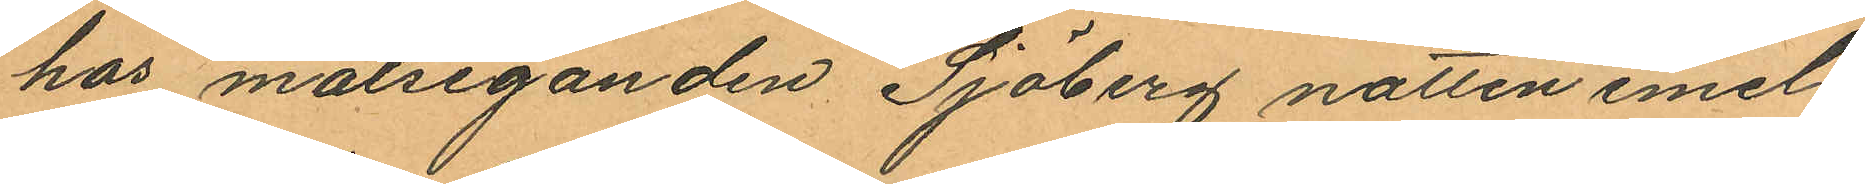hos målseganden Sjöberg natten emel¬
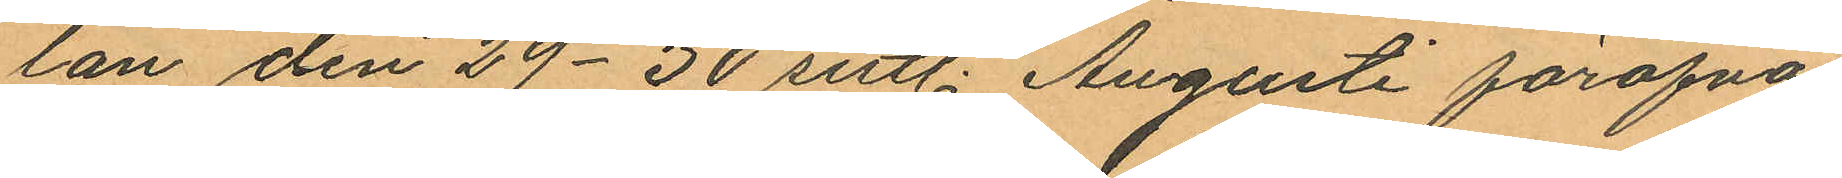lan den 29-30 sistl. Augusti föröfva¬
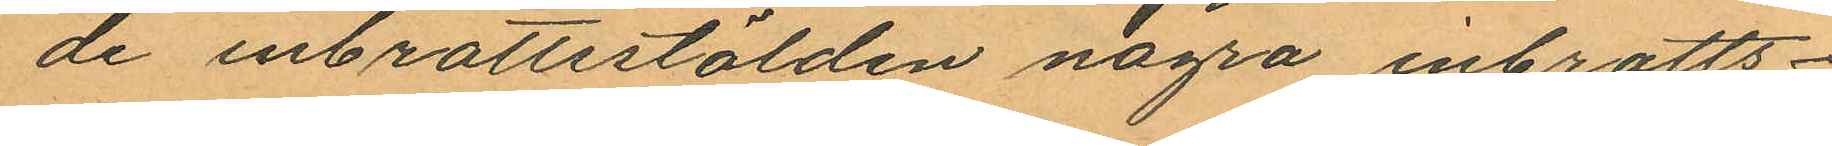de inbrottsstölden några inbrotts¬
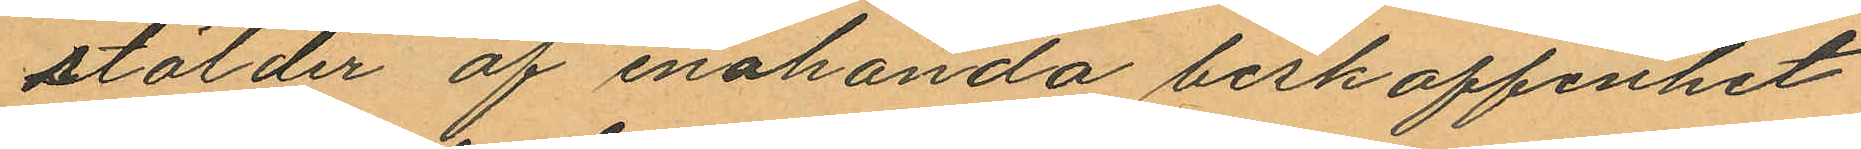stölder af enahanda beskaffenhet
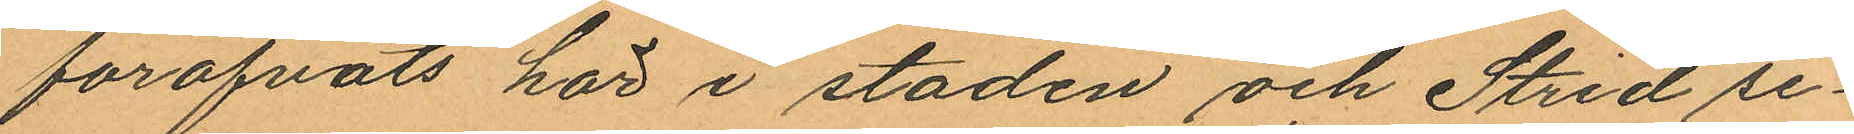föröfvats här i staden och Strid se¬
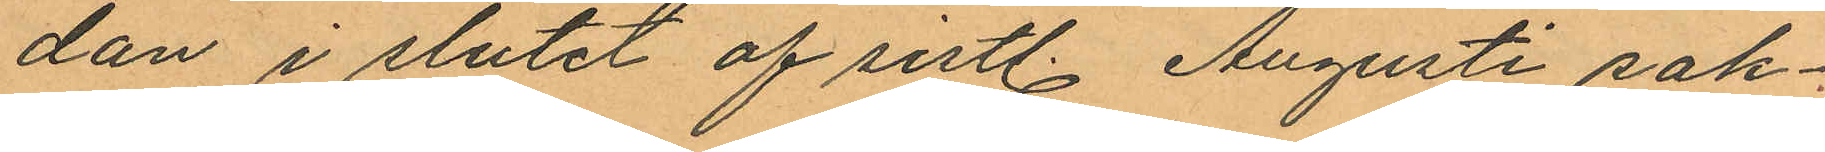dan i slutet af sistl. Augusti sak¬
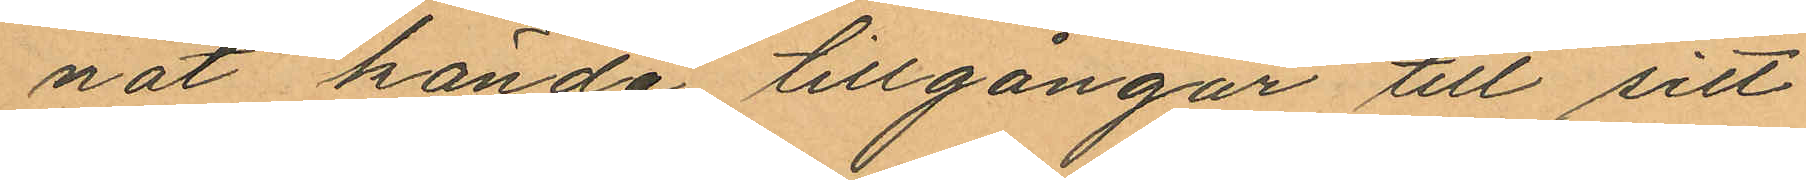nat kända tillgångar till sitt
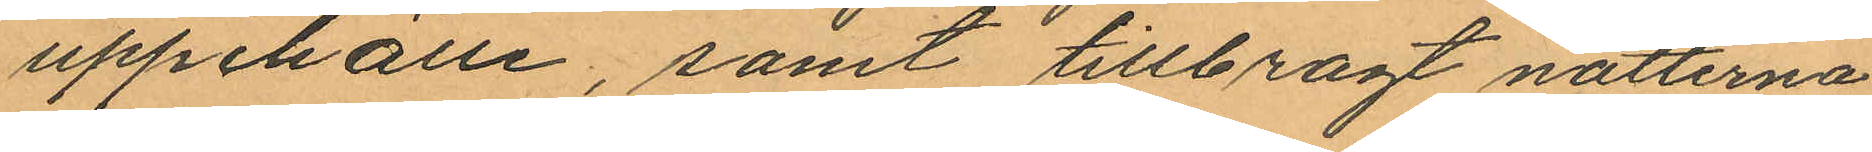uppehälle, samt tillbragt nätterna
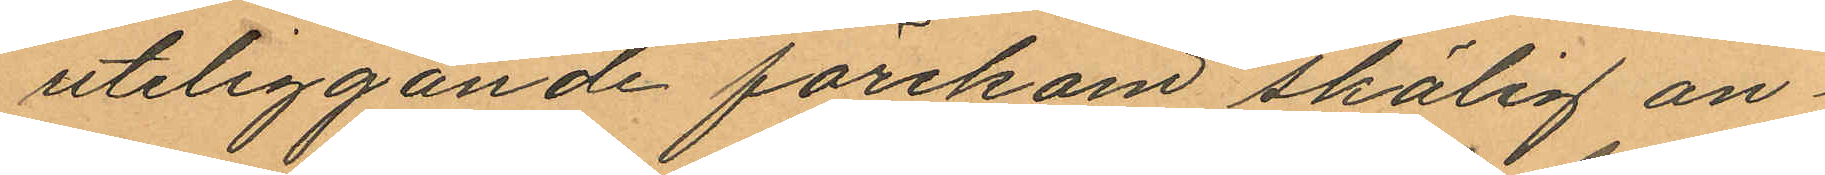uteliggande förekom skålig an¬
